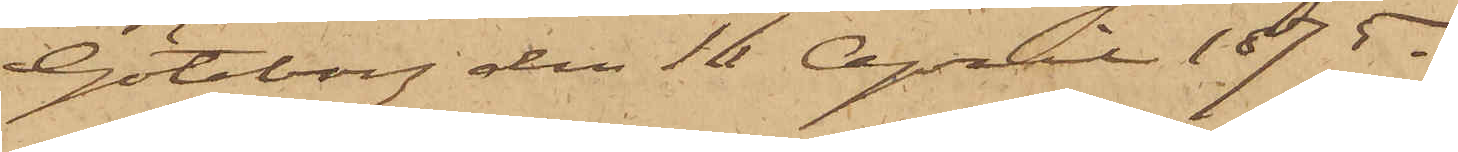Göteborg den 16 April 1875.
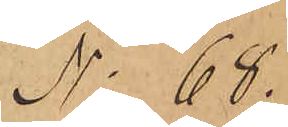No 68.
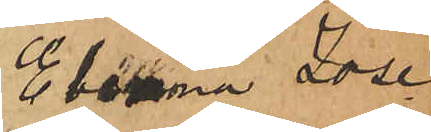Elemina Jose¬
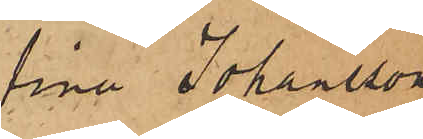fina Johansson
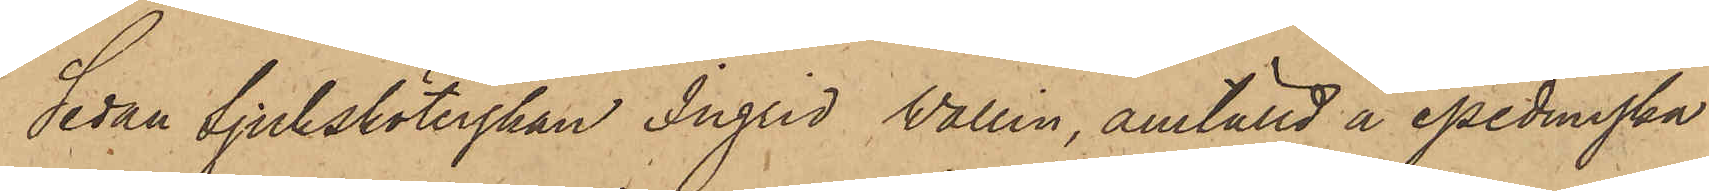Sedan Sjuksköterskan Ingrid Wallin, anställd å epedemiska
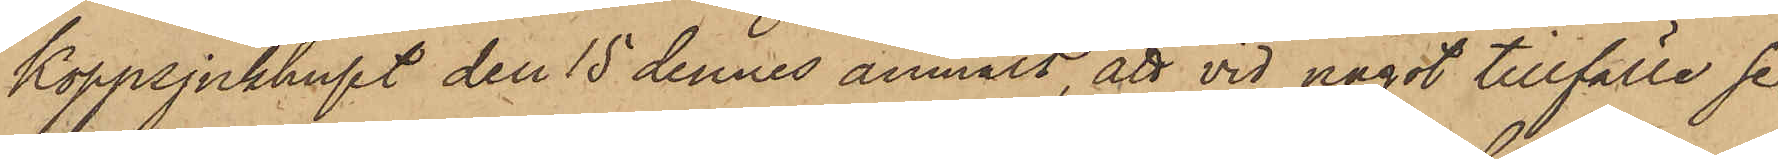Koppsjukhuset den 15 dennes anmält, att vid något tillfälle se¬
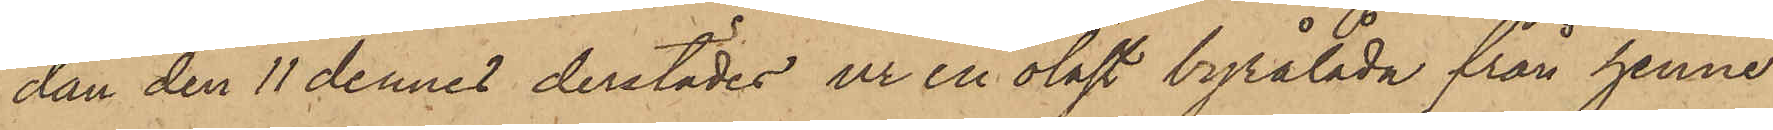dan den 11 dennes derstädes ur en olåst byrålåda från henne
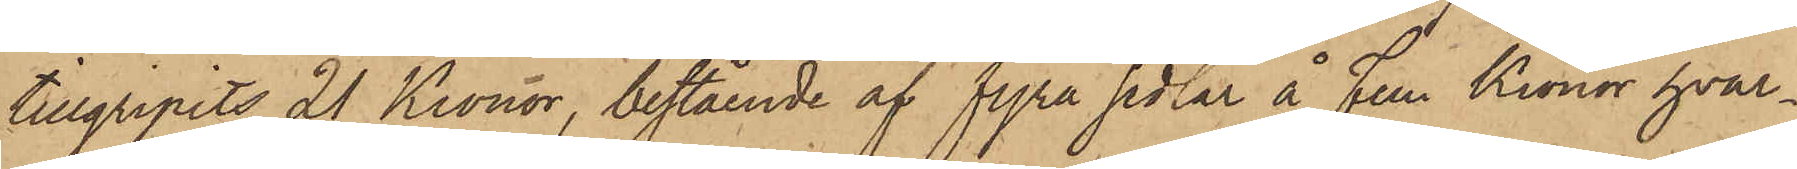tillgripits 21 Kronor, bestående af fyra sedlar å Fem Kronor, hvar¬
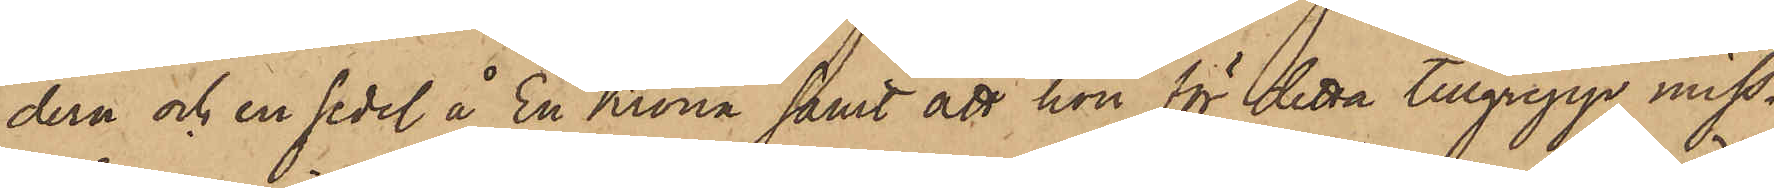dera och en sedel å En Krona samt att hon för detta tillgrepp miss¬
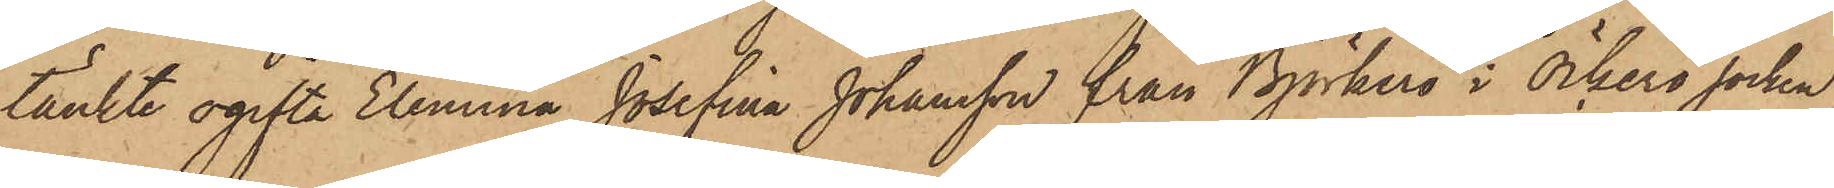tänkte ogifta Elemina Josefina Johansson från Björkerö i Öckerö socken,
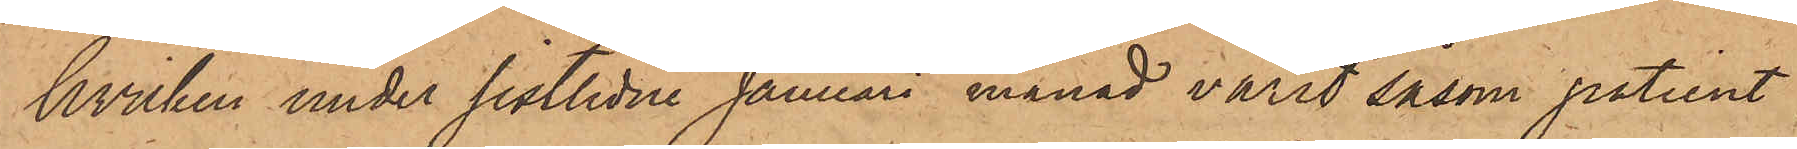hvilken under sistlidne Januari månad varit såsom patient
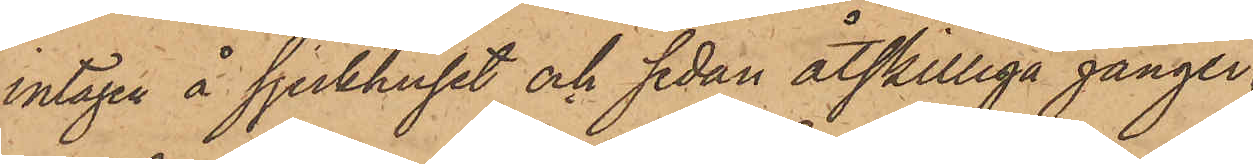intagen å sjukhuset och sedan åtskilliga gånger
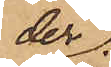der
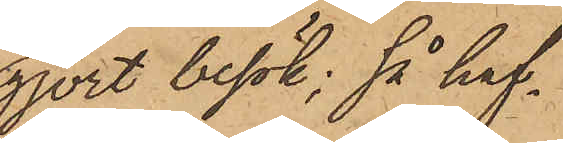gjort besök; så haf¬
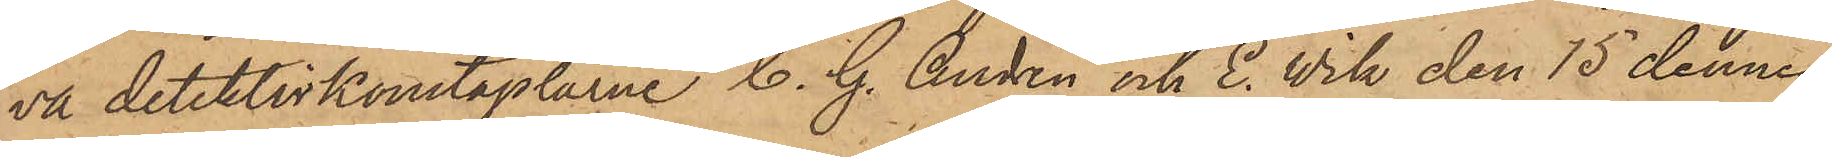va detektivkonstaplarne C. G. Andrén och E. Vik den 15 dennes
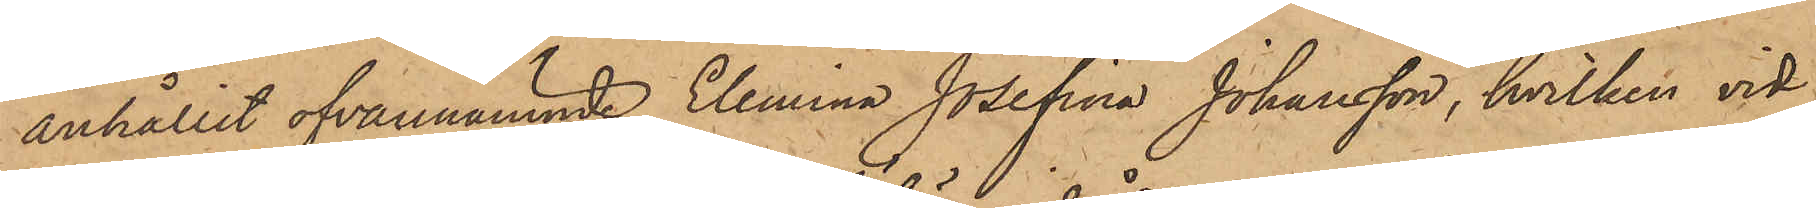anhållit ofvannämnde Elemina Josefina Johansson, hvilken vid
